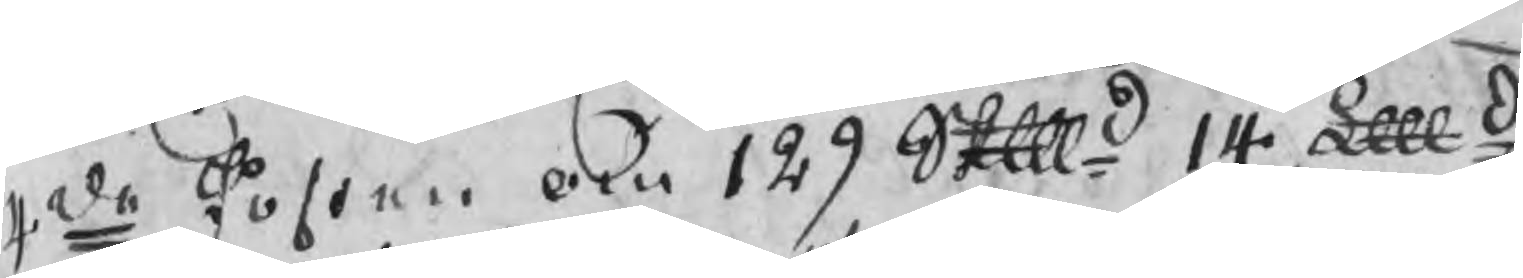4de Posten om 129 Skpd 14 Lpd
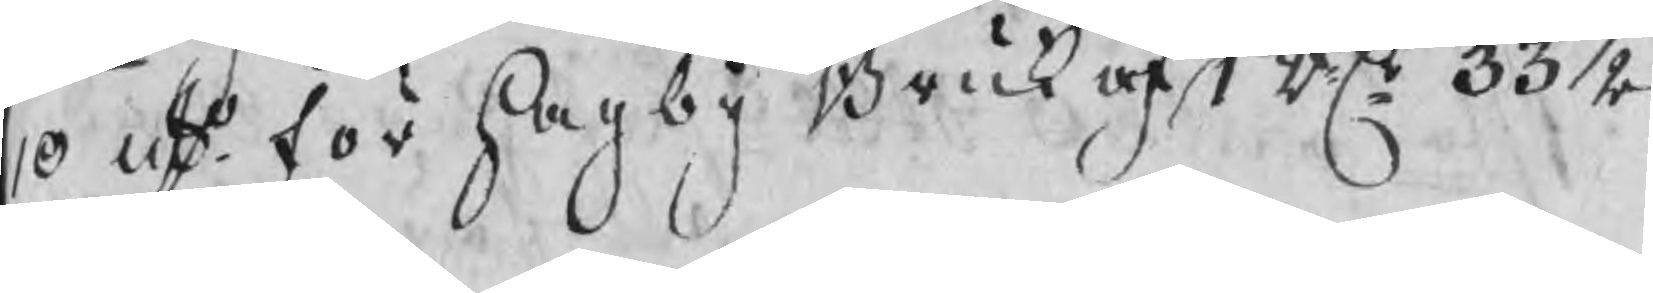10 uto för Hagby Bruk af 1 RD 33 ½
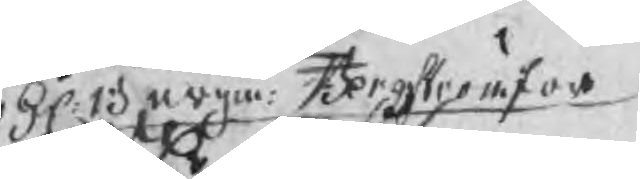H Bergm. Bergström för
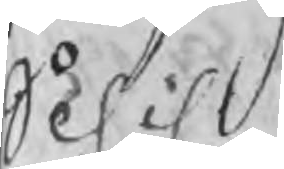Schil
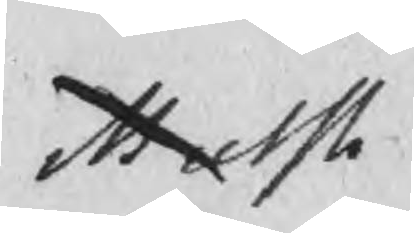Mutsh
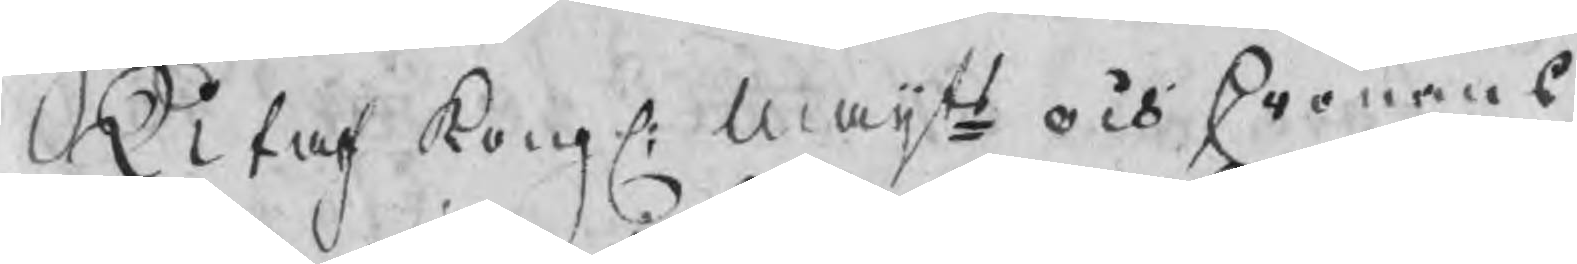Utaf kongl: maijts och Cronans
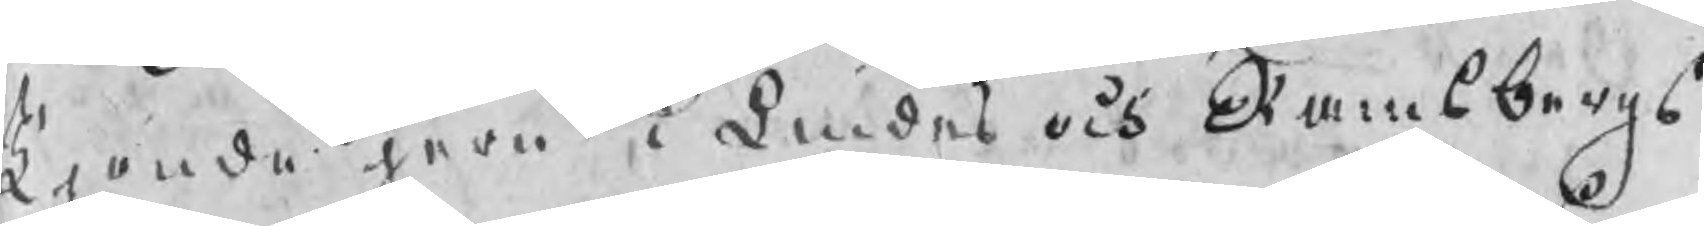Tjonde jern i Lindes och Ramsbergs
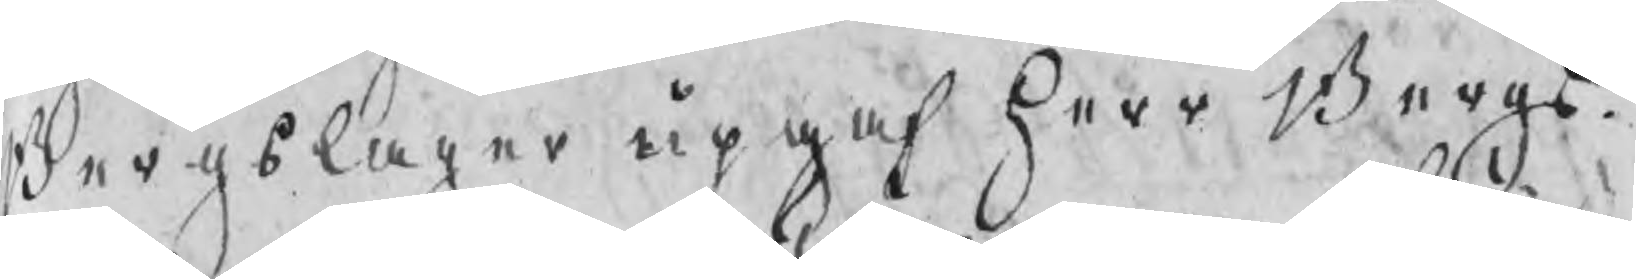Bergslager upgaf Herr Bergs
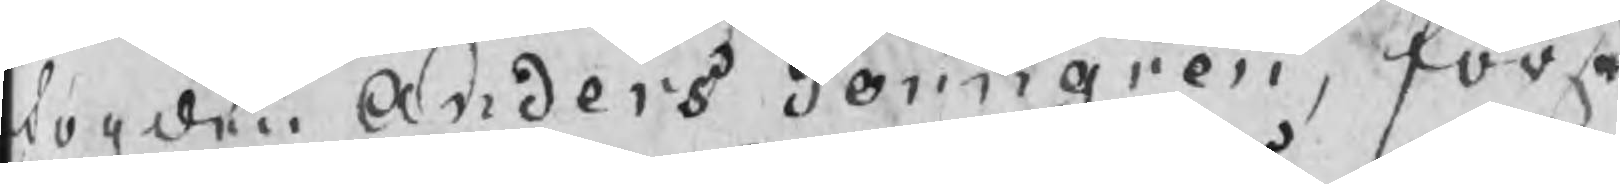fogden Anders Törngren, för
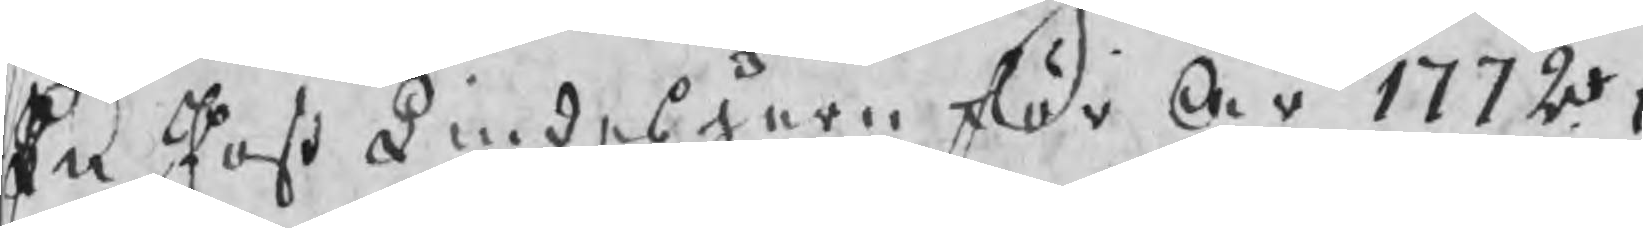En Post Lindesjern för År 1772,
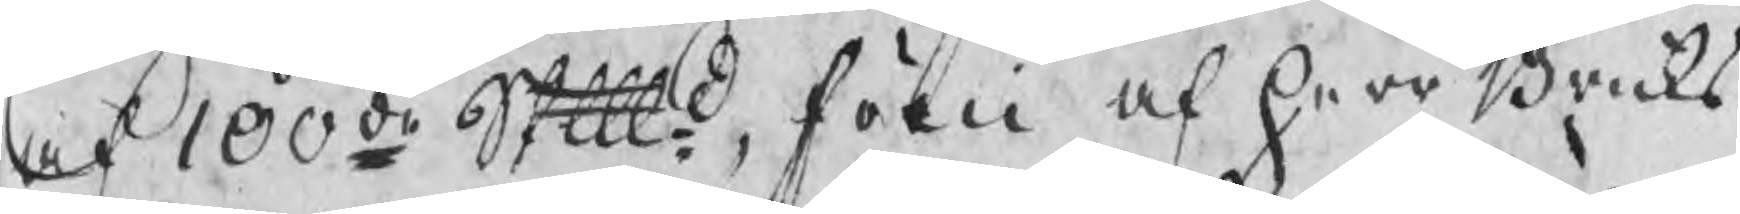af 100de Skpd, som af herr Bruks
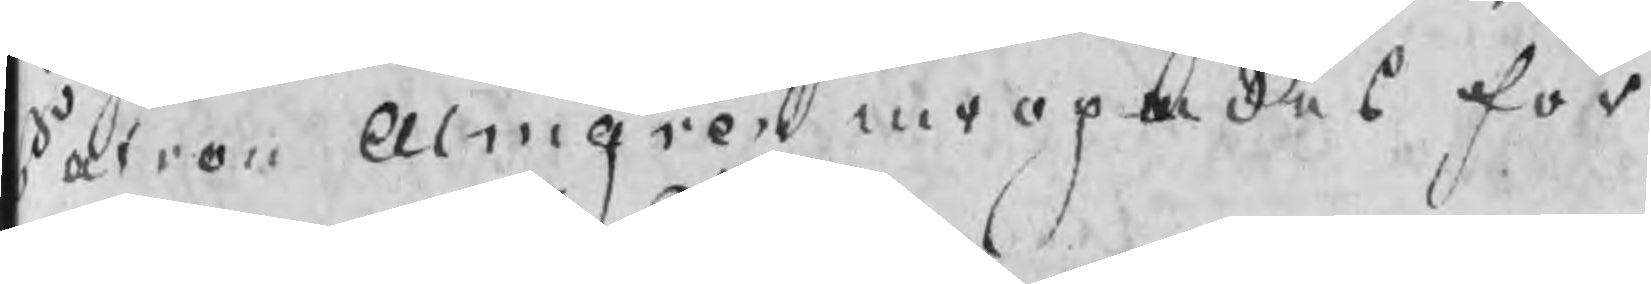Patron Almgren inropades för
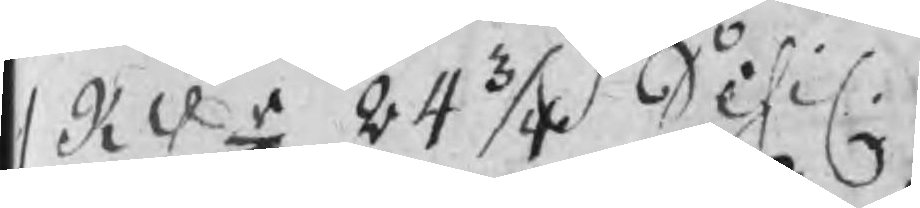1 RDr 24 3/4 Schil.
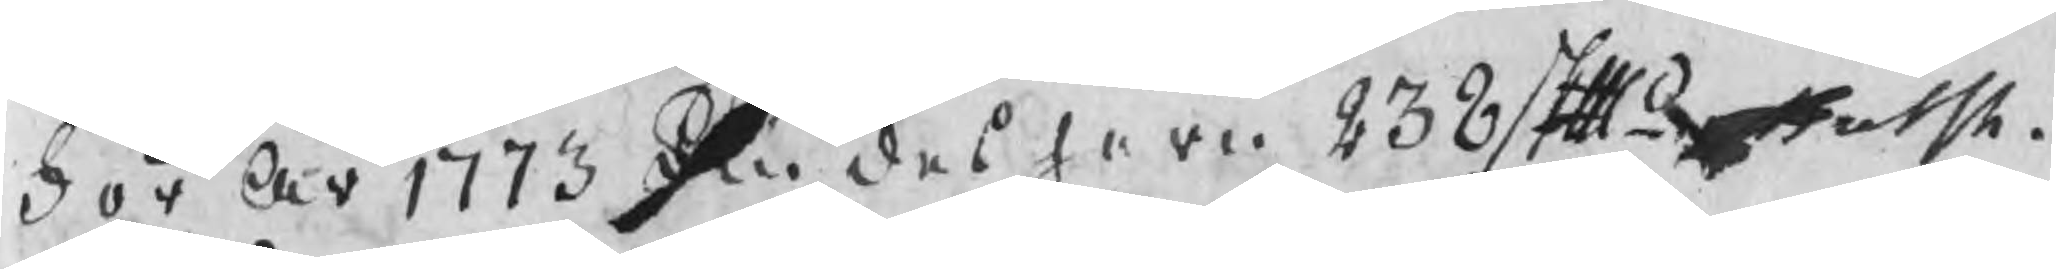För År 1773 Lindesjern 238 Skpd
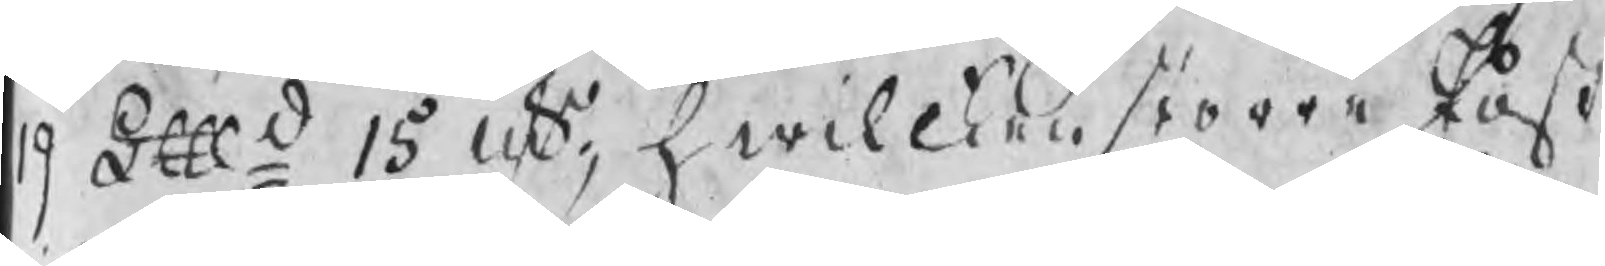19 Lpd 15 uts, hwilcken större Post
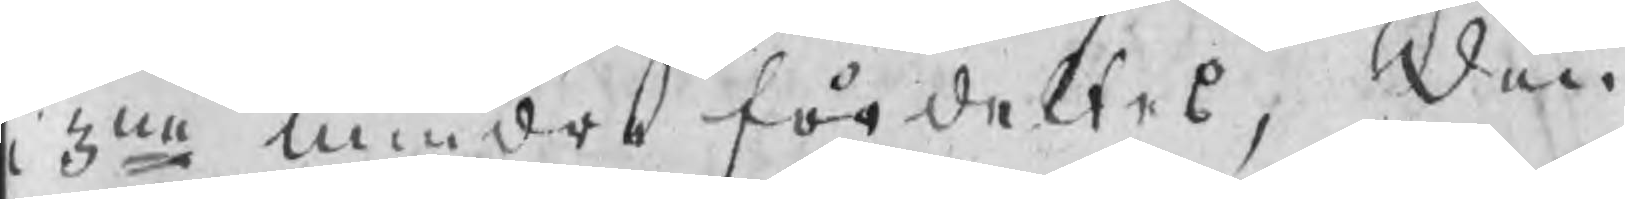i 3ne mindre fördeltes,  Den
